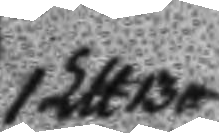1 Ltt 13 tt
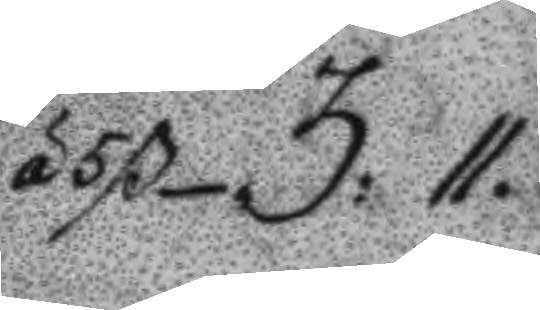á 5 ß 3:11.
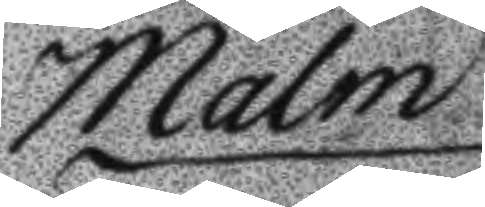Malm
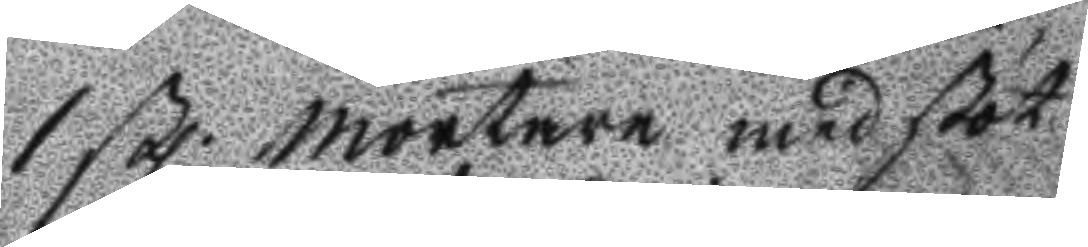1 stl mortare med stöt
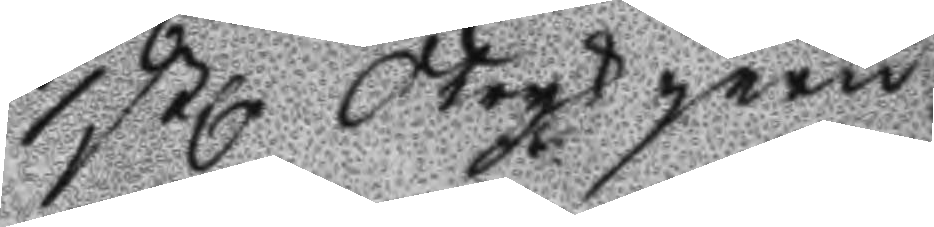1 stl Strykjern
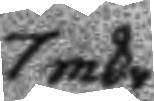7 mkr
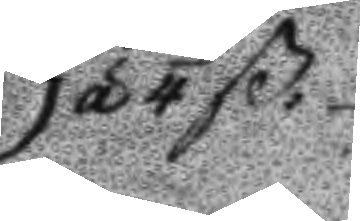á 4 ß:
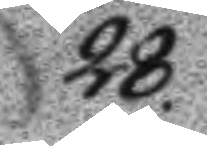28.
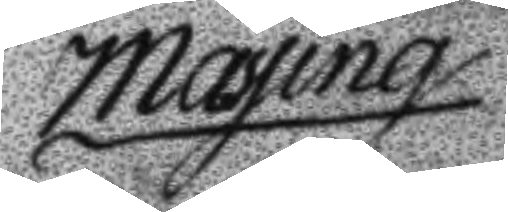Mässing
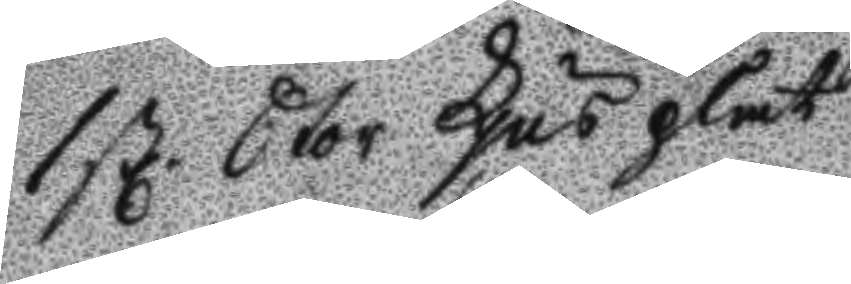1 stl Stor Kjus plåt
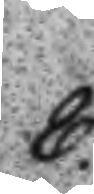8.
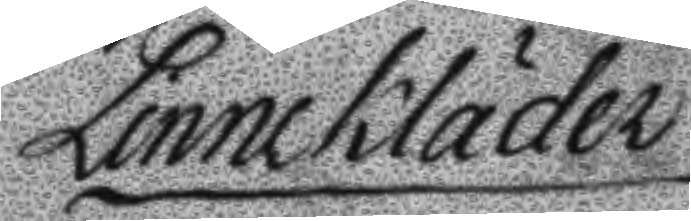Linnekläder
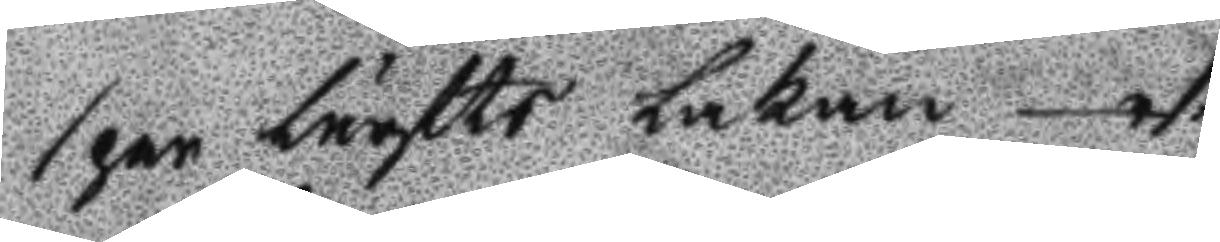1 par bättre lakan 1.
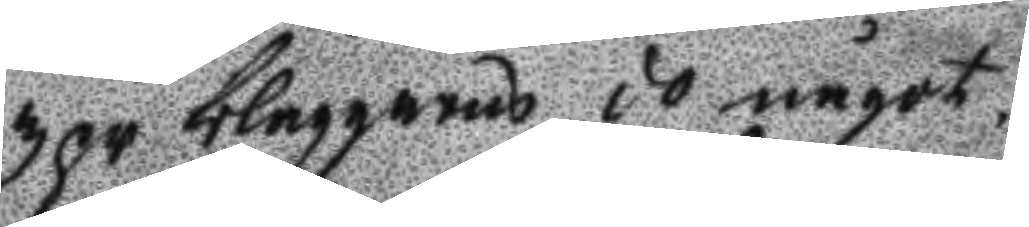3 pr blaggarns do något
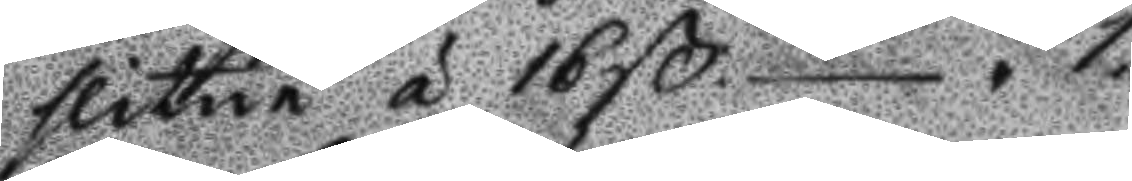slitne á 16ß 1.
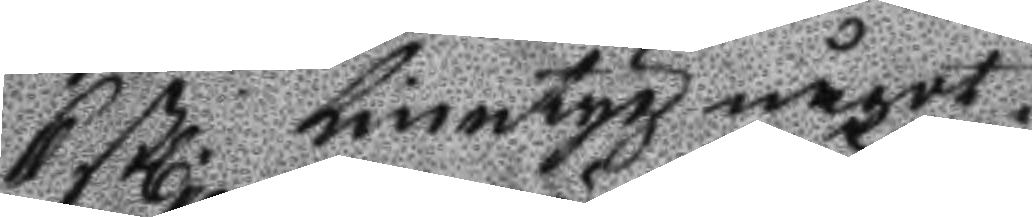6 stl Linntyg något
